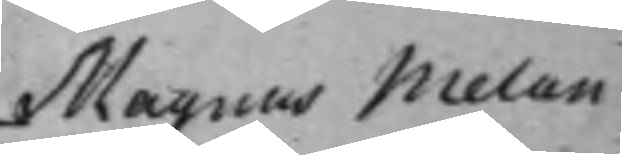Magnus Melan¬
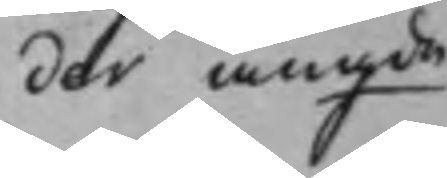der angde
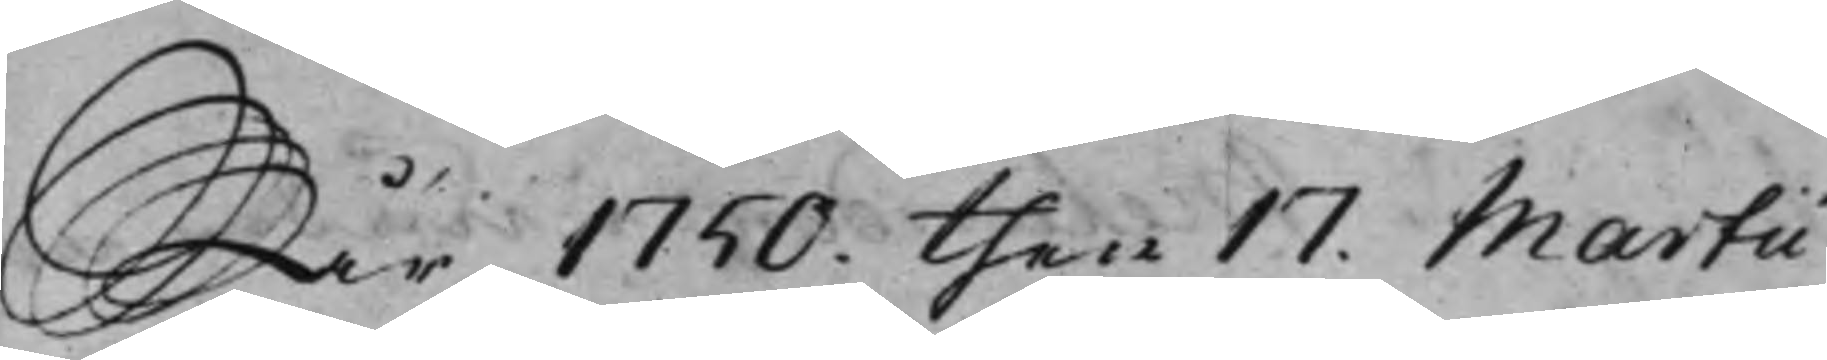År 1750. then 17. Martii
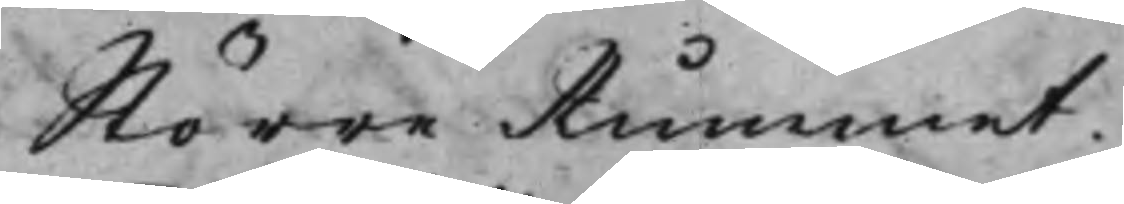Större Rummet
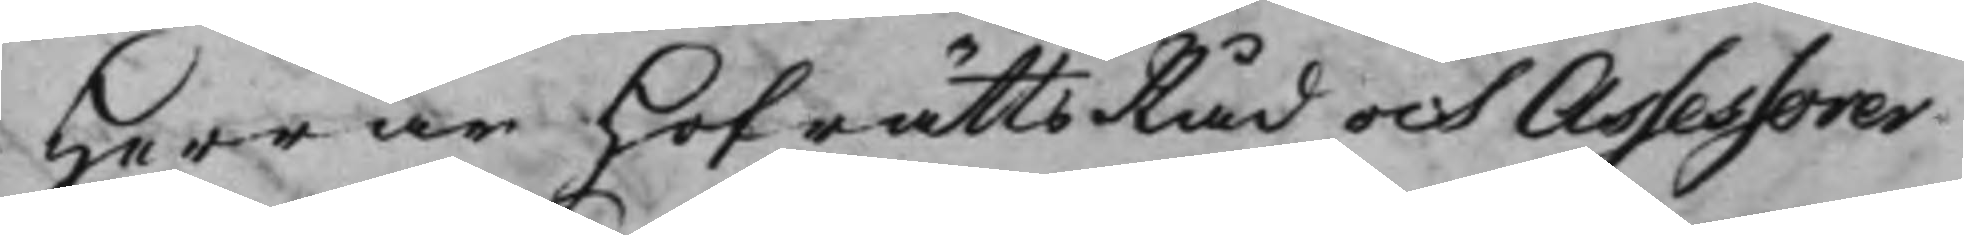Herrar HofrättsRåd och Assessorer
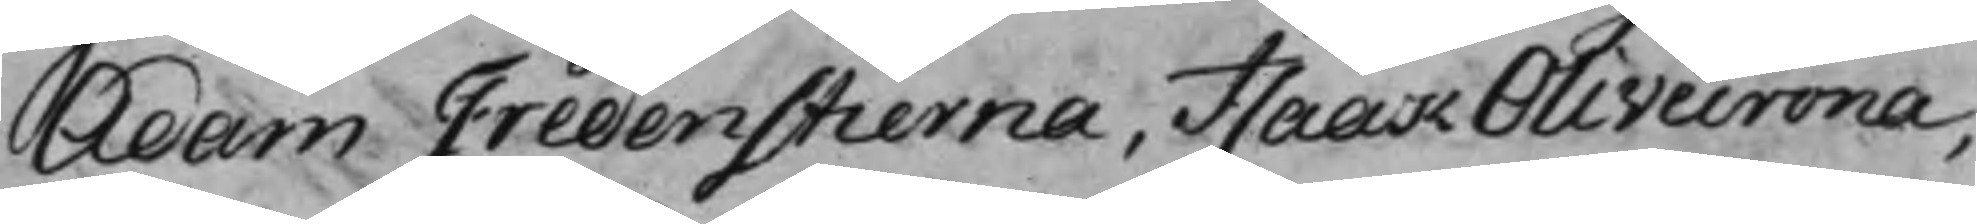Adam Fredenstierna, Isaak Olivecrona,
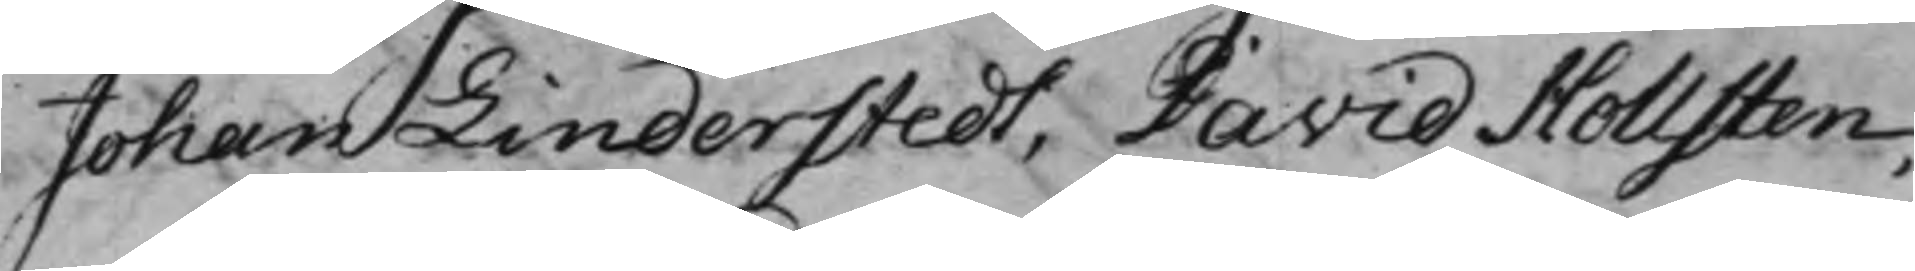Johan Linderstedt, David Hollsten,
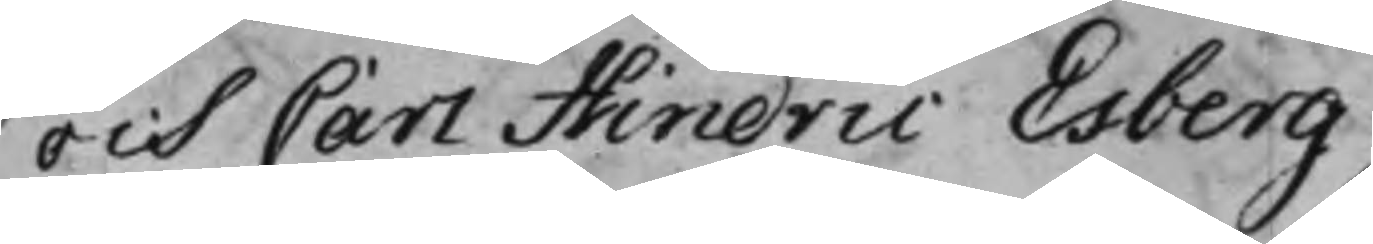och Carl Hindric Esberg.
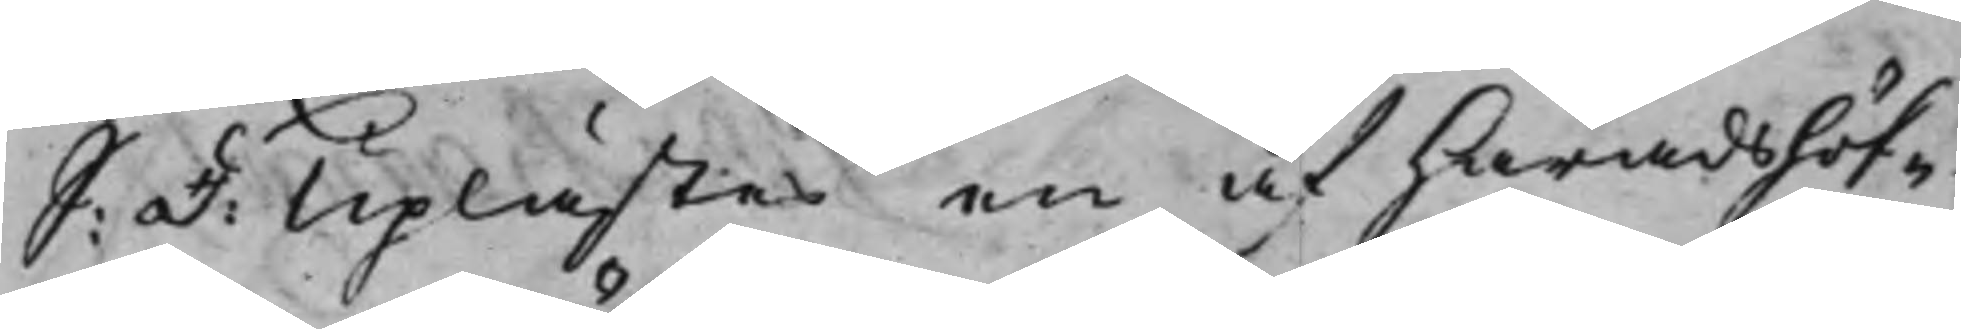S: d: Uplästes en af Häradshöf¬
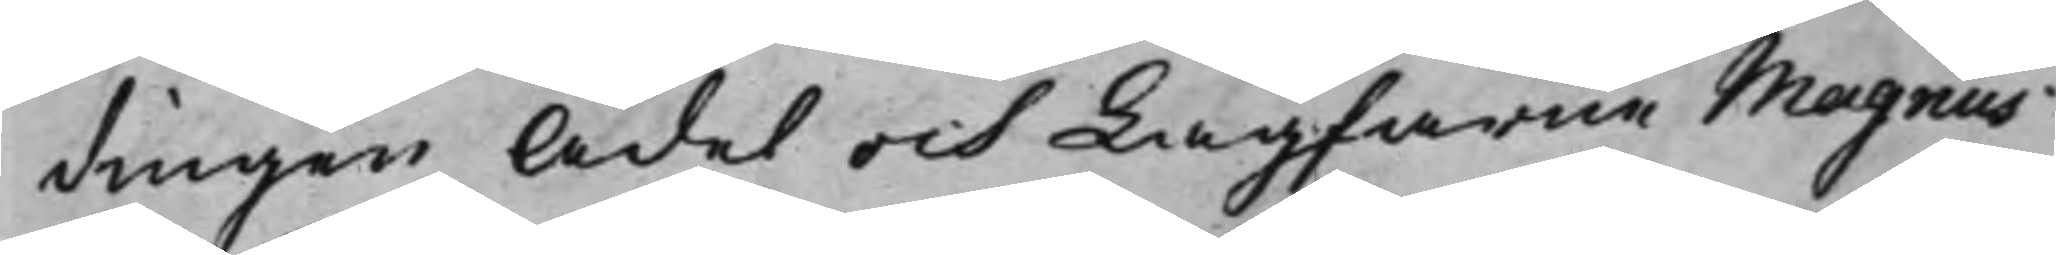dingen Ädel och Lagfarne Magnus
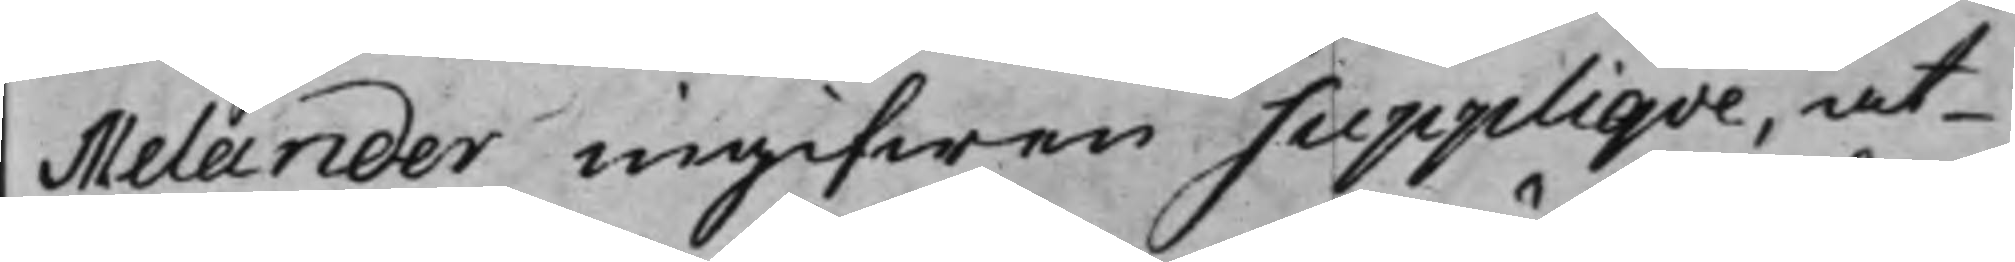Melander ingifwen Suppliqve, at
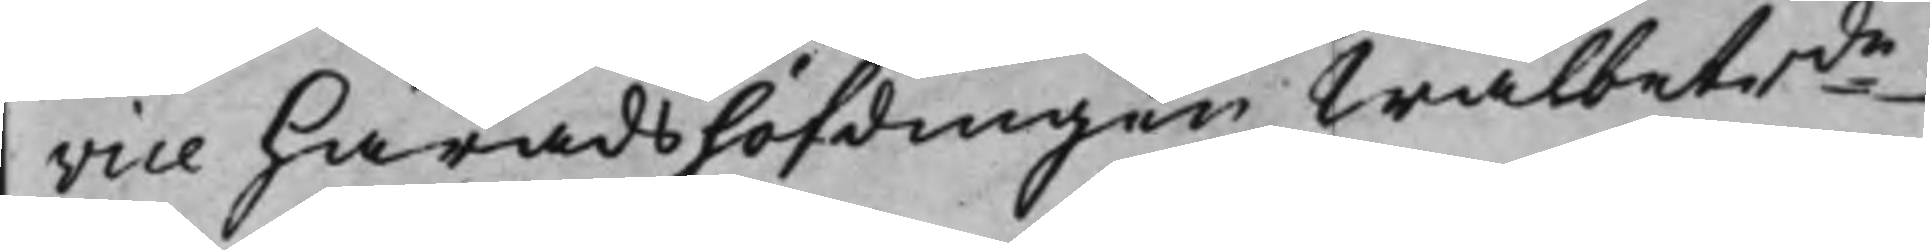vice Häradshöfdingen Wälbetrde
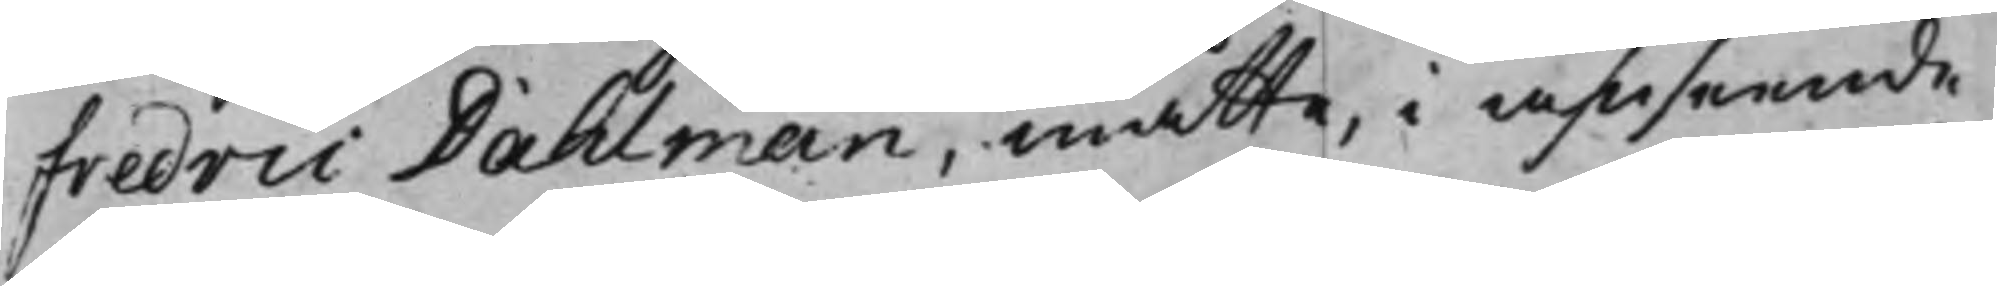Fredric Dahlman, måtte, i anseende
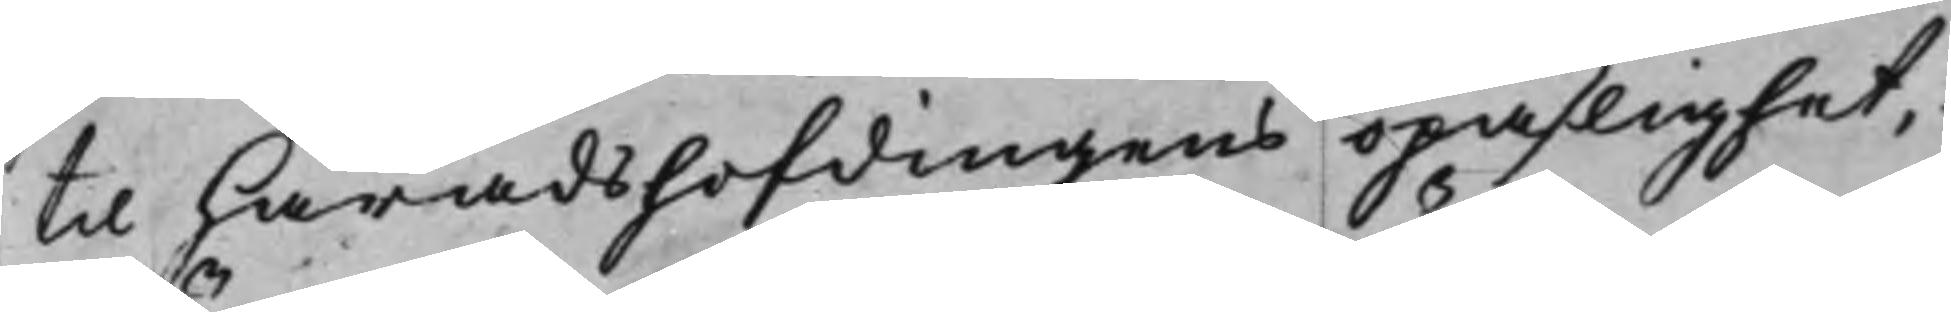til Häradshöfdingens opaslighet,
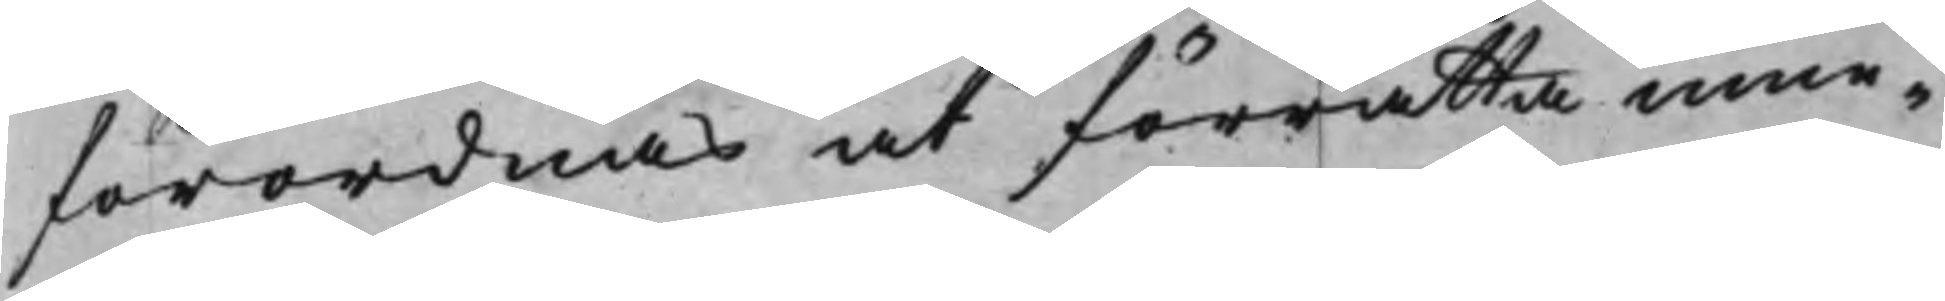förordnas at förrätta inne¬
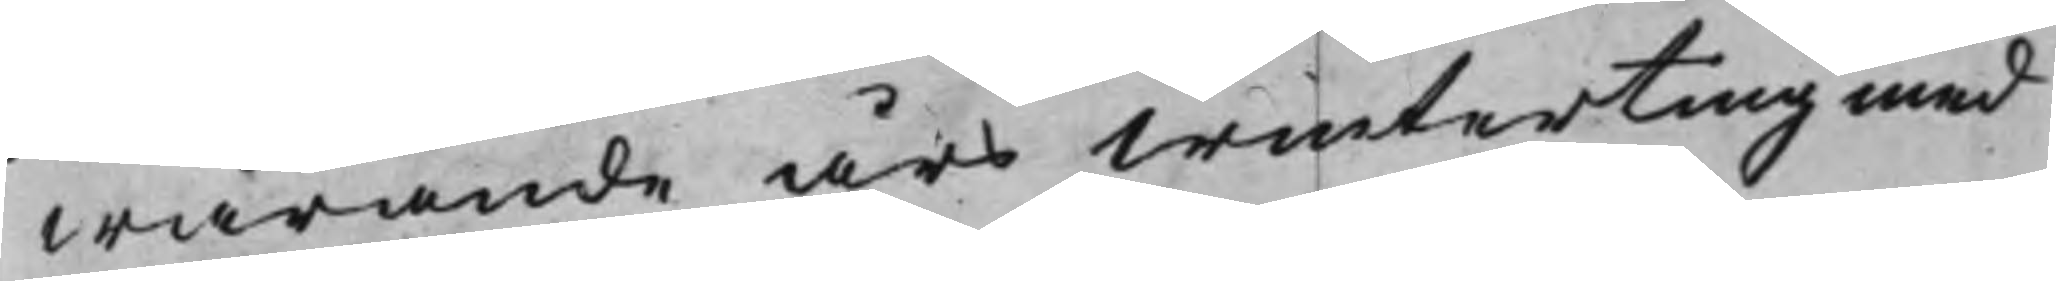warande års Winterting med
